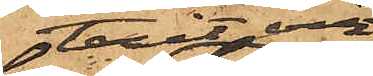tagit och
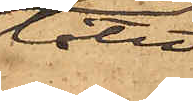låtit
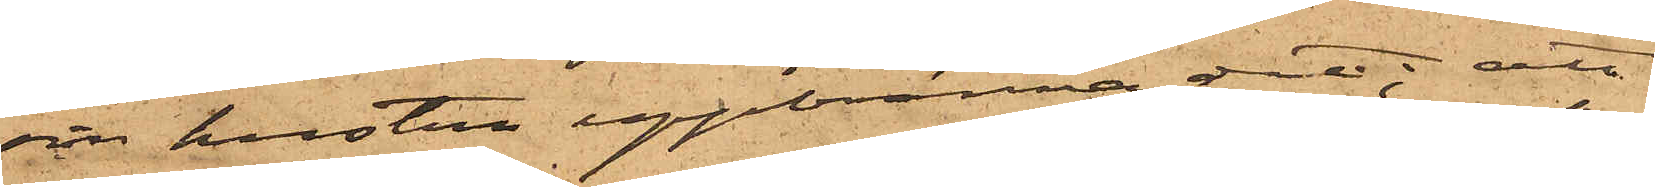sin hustrun uppbränna det; att
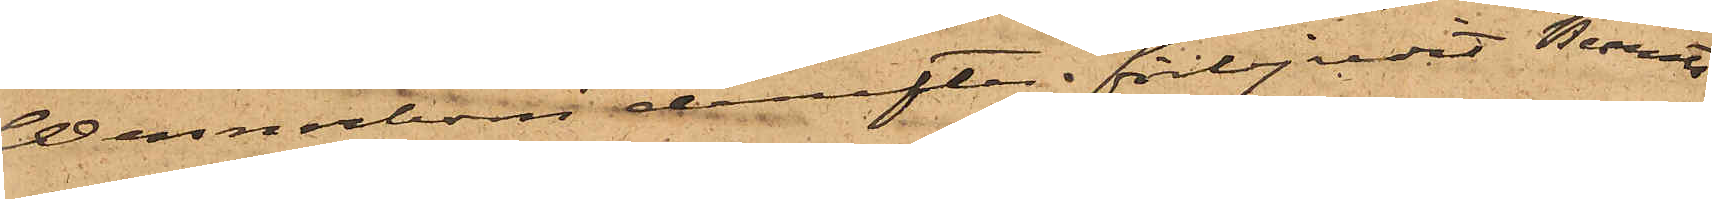Wennerbom derefter förbjudit Bernts¬
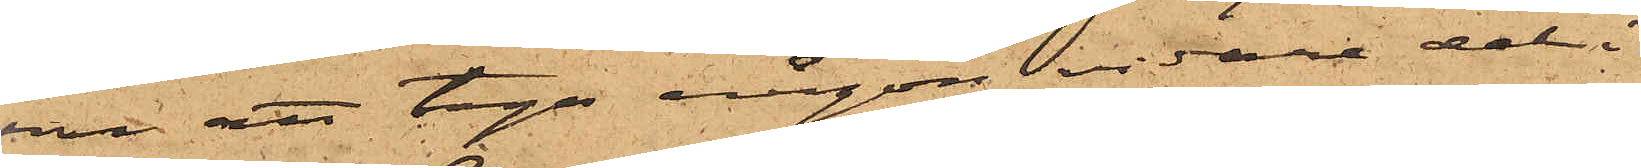son att taga någon vidare del i
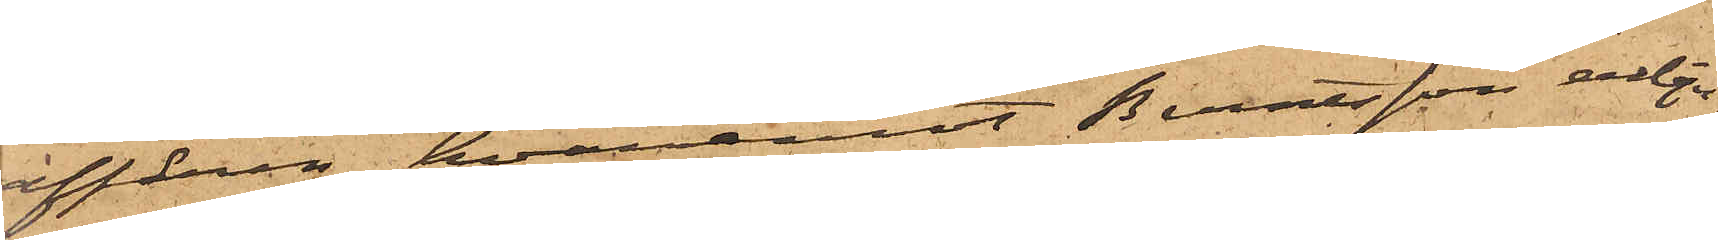affären, hvaremot Berntsson erbju¬
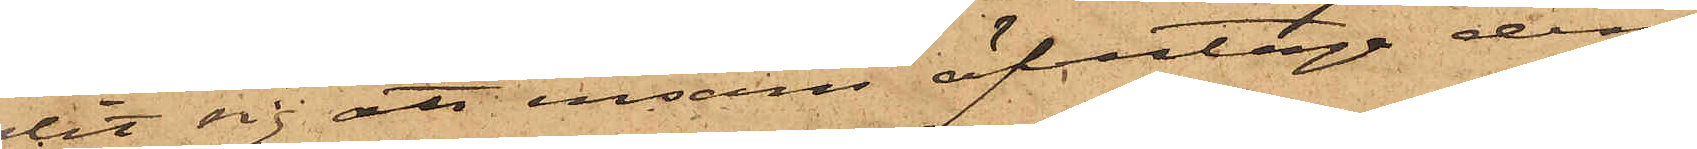dit sig att ensam öfvertaga den¬
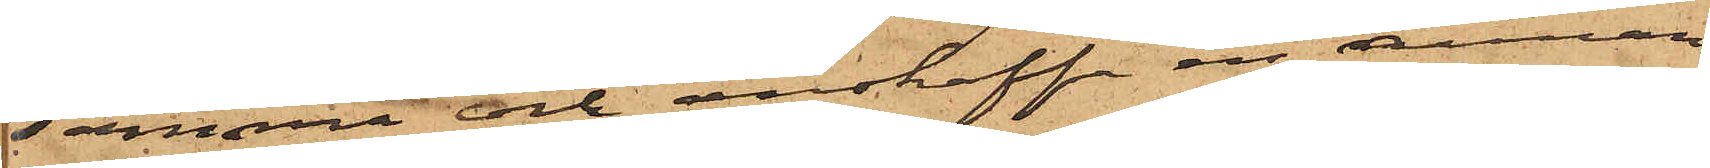samma och anskaffa en annan
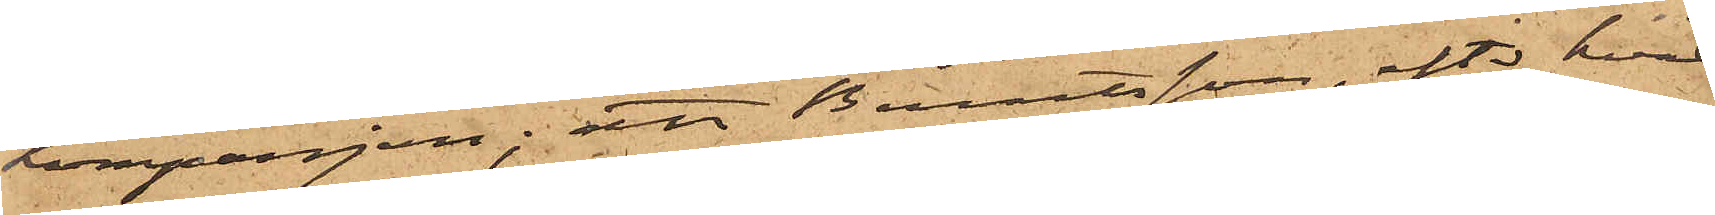kompanjon; att Berntsson, efter hvad
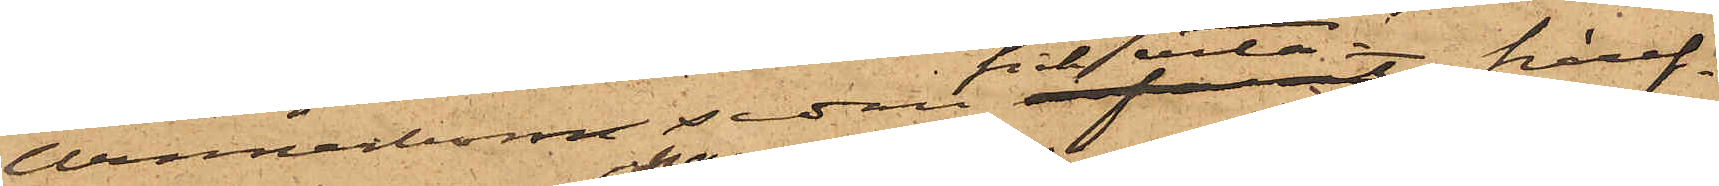Wennerbom sedan fick veta häref¬
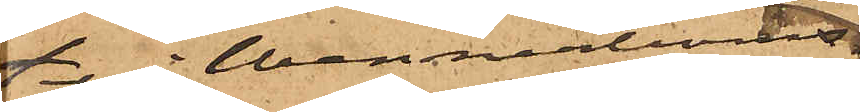ter i Wennerboms
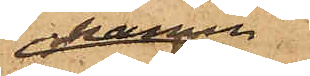namn
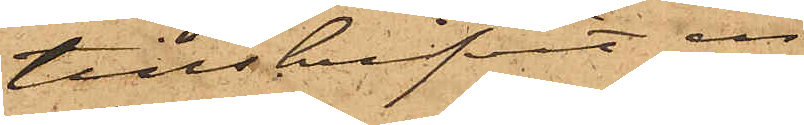tillskrifvit en
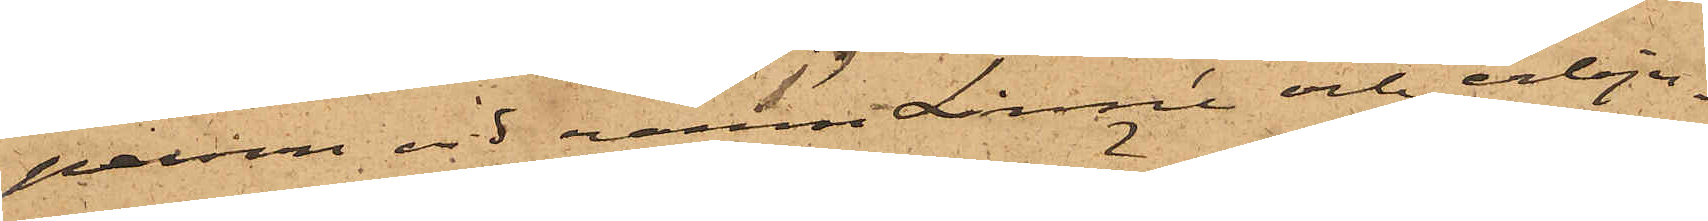person vid namn Linné och erbju¬
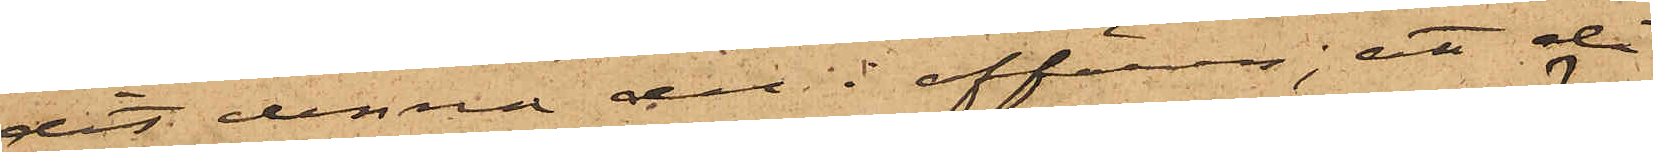dit denna del i affären; att då
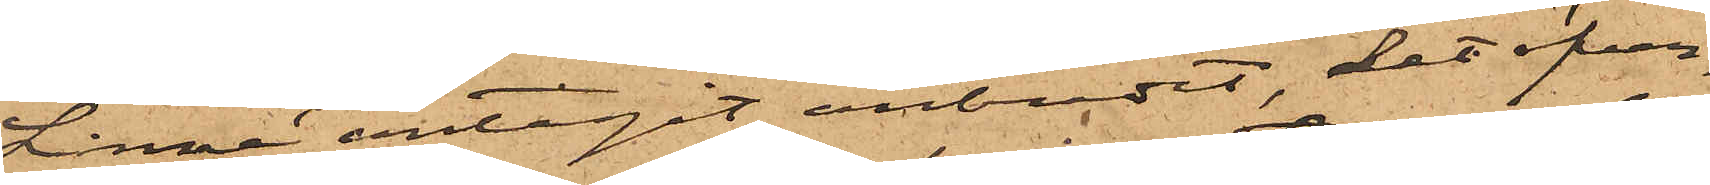Linné antagit anbudet, det öfver¬
